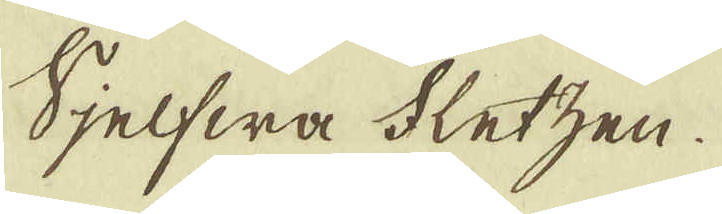Sjelfwa bletzen.
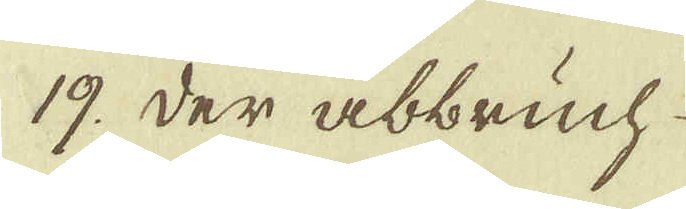19. Der abbrich
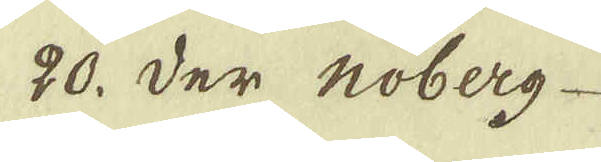20. Der hoberg
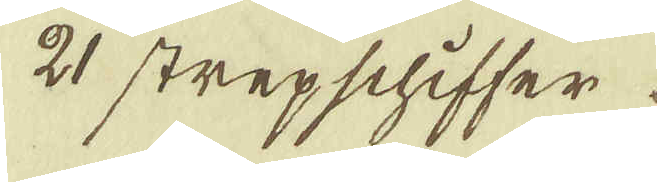21 stropschiffer
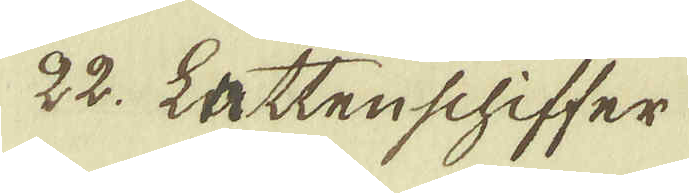22. Lattenschiffer
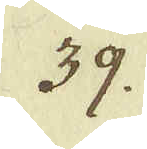39.
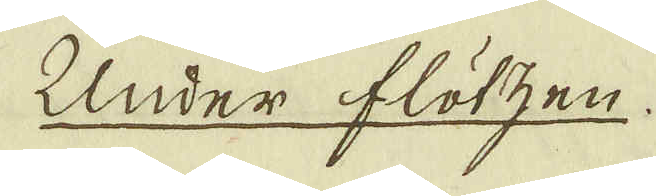Under flötzen.
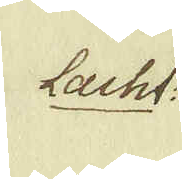Lacht:
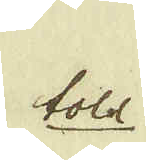toll
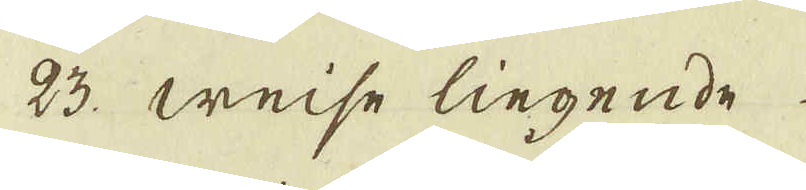23 weise liegende
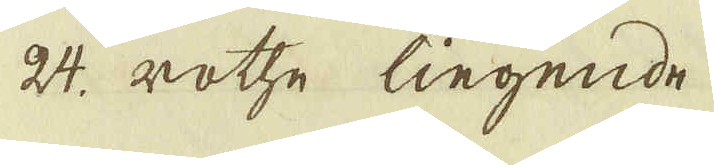24 rotte liegende
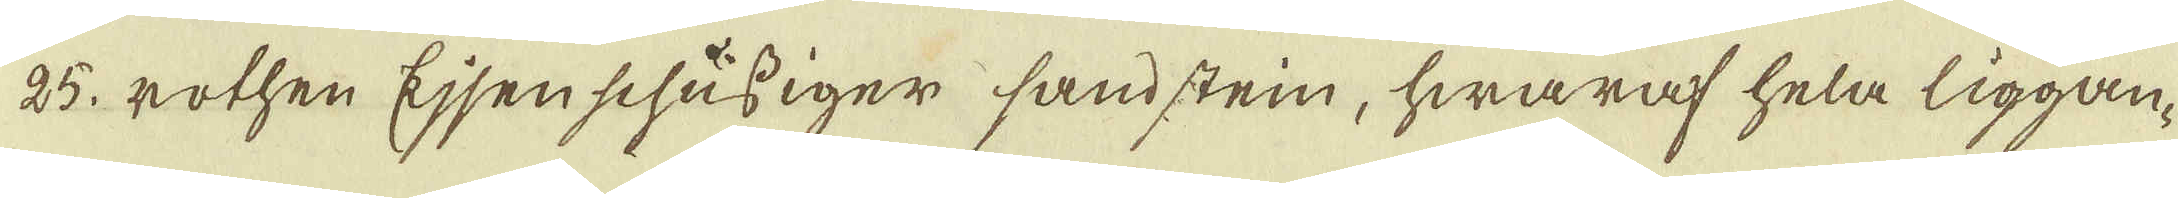25. rothen Ejjenschussiger sandsten, hwaraf hela liggan-
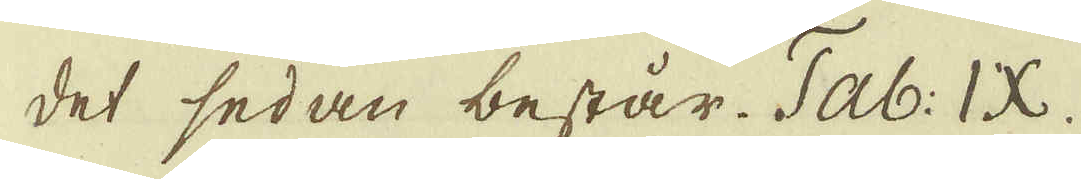det sedan består. Tab. IX.
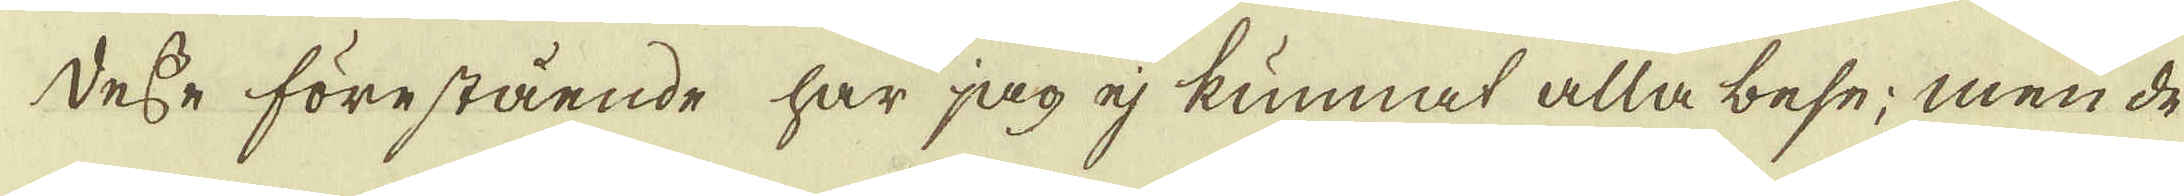Desse förestående har jag ej kunnat alla bese; men de
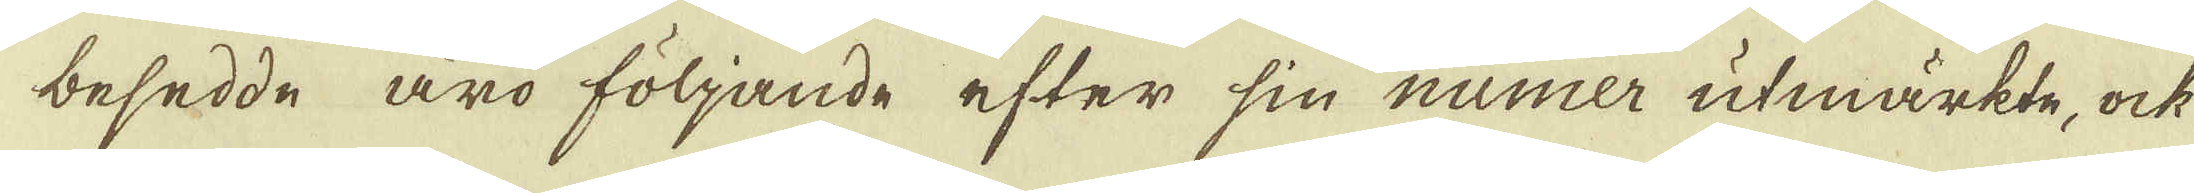besedde äro följande efter sin numer utmärkte, ock
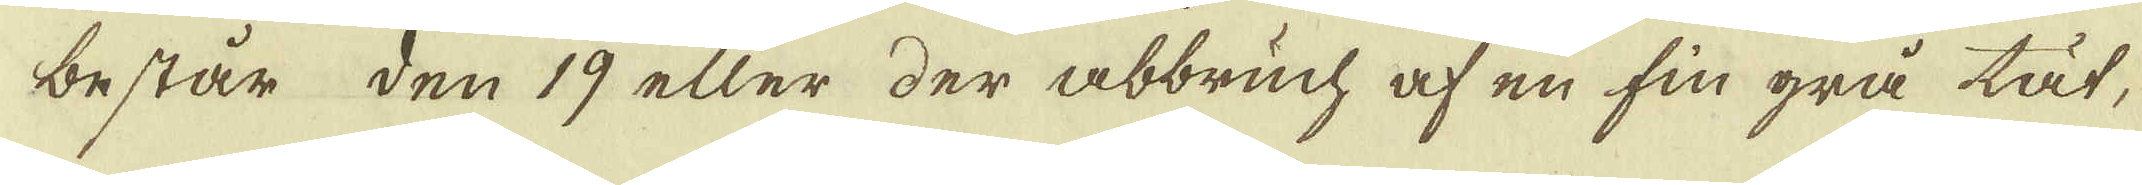består den 19 eller der abbruch af en fin grå til,
